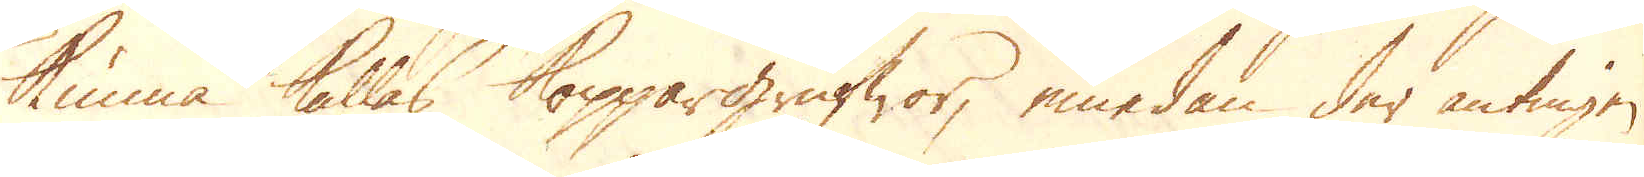kunna kallas Koppargrufwor, emedan der antingen
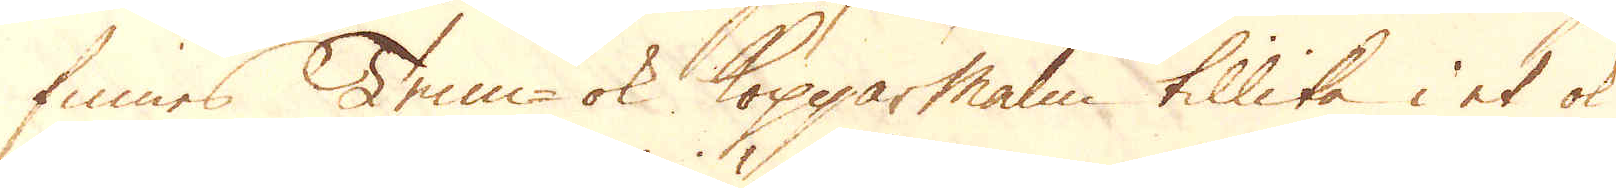finnes Tenn- ok Kopparmalm tillika i et ok
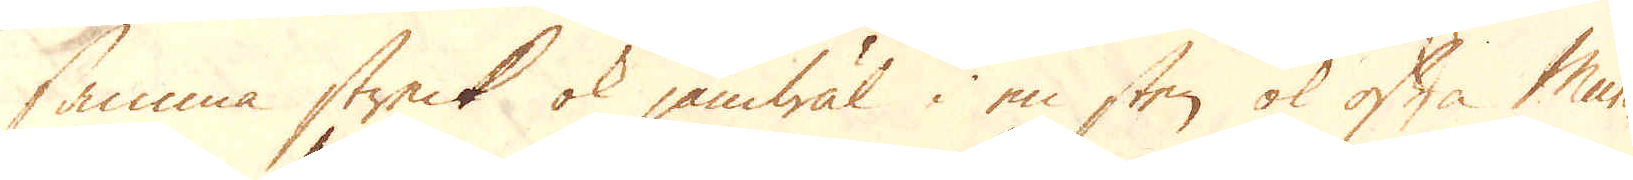samma streck ok jämwäl i en sten ok ofta Mur-
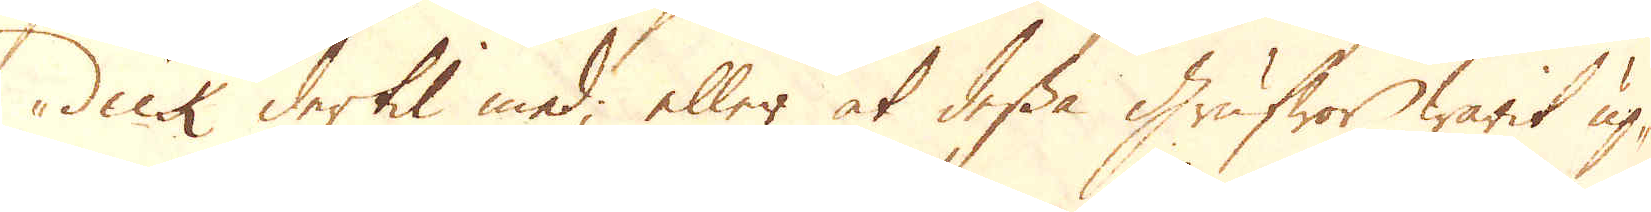dick dertil med, eller at dessa Grufwor warit up-
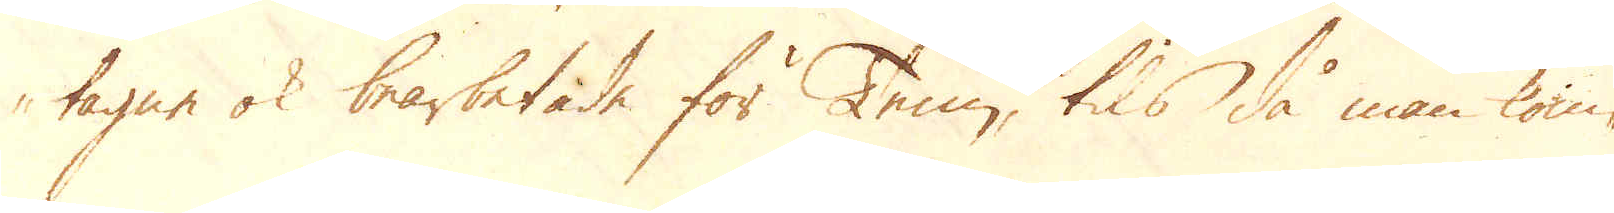tagne ok bearbetade för Tenn, tils då man kom-
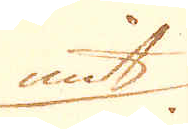mit.
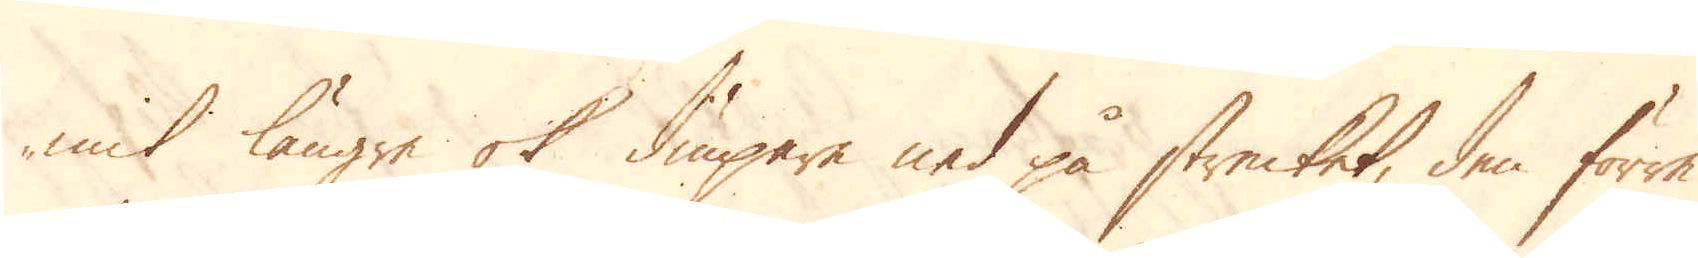mit längre ok diupare ned på strecket, den förra
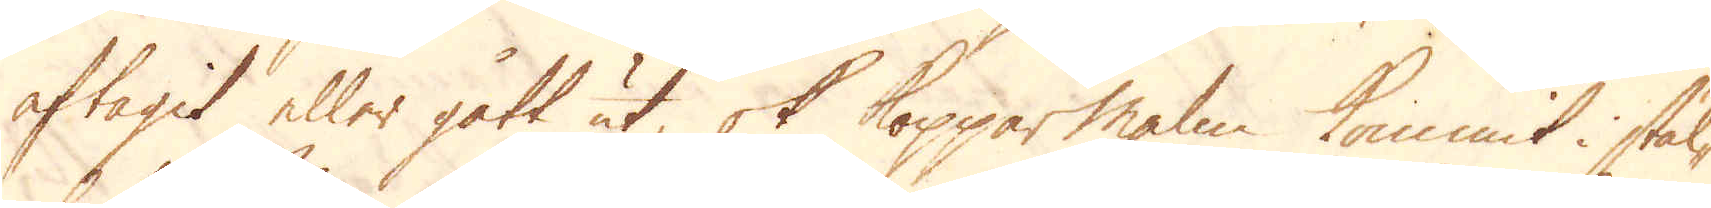aftagit eller gått ut ok Kopparmalm kommit i stäl-
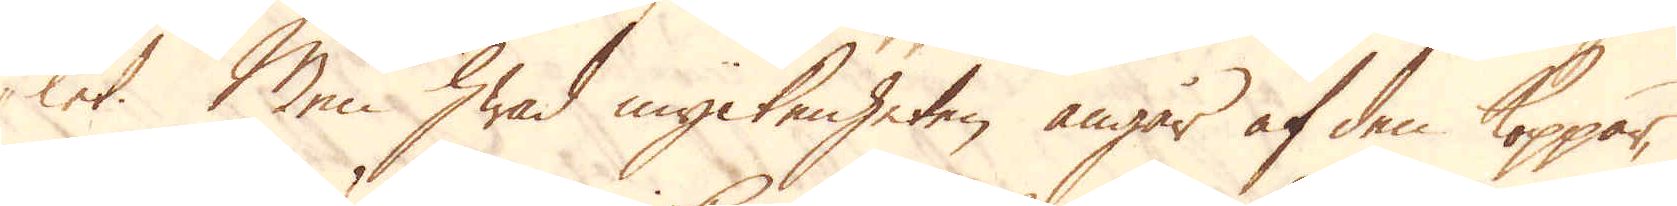let. Men hwad myckenheten angår af den koppar,
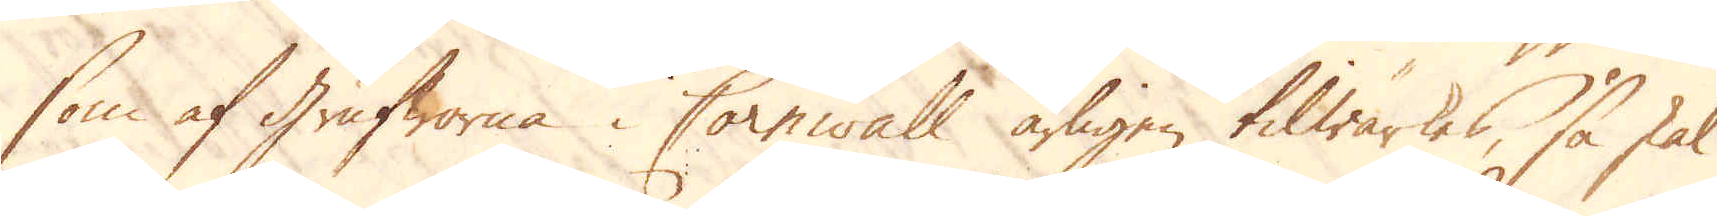som af Grufworna i Cornwall årligen tilwärkes, så skal
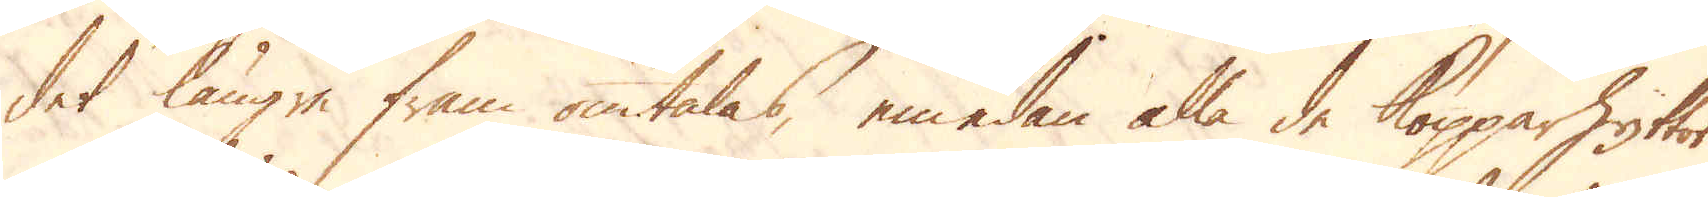det längre fram omtalas, emedan alla de Kopparhyttor
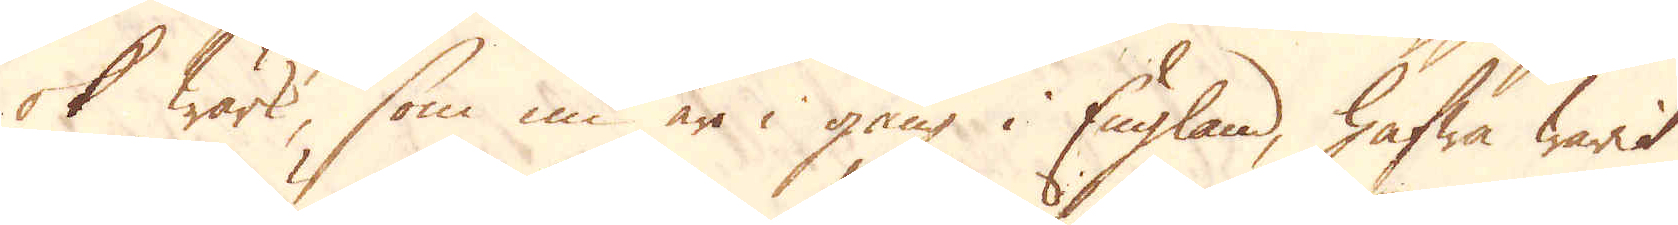ok wärk, som nu är i gång i England, hafwa warit
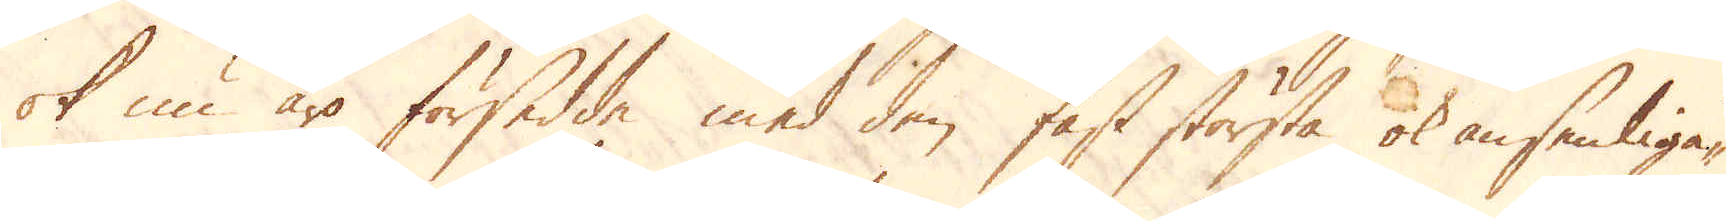ok nu äro försedde med den fast största ok ansenliga-
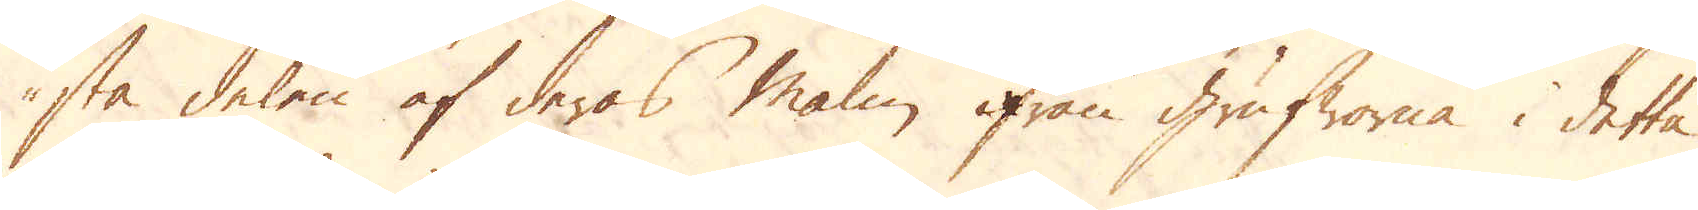sta delen af deras malm ifrån Grufworna i detta
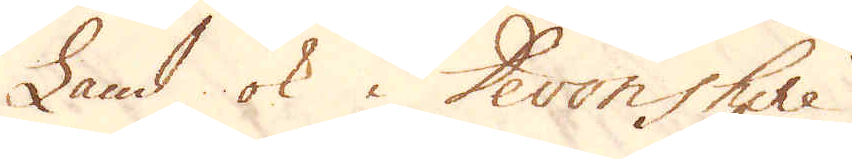Land ok i Devonshire.
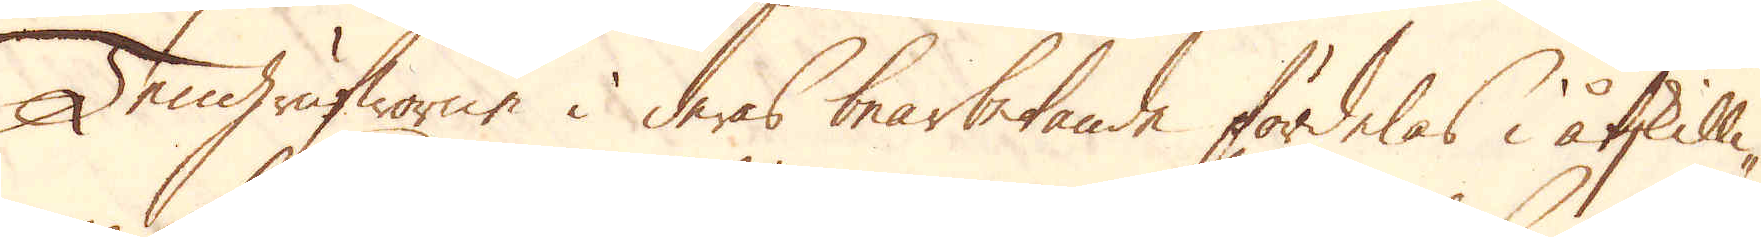Tengrufworne i deras bearbetande fördelas i åtskilli-
